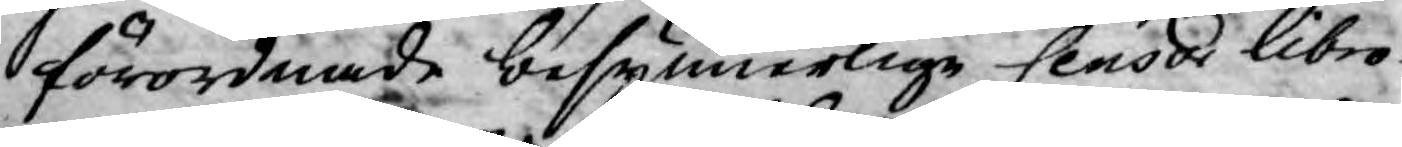förordnade besynnerlige Censor Libro¬
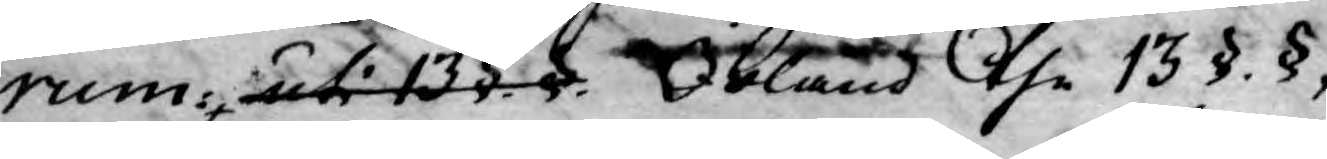rum uti 13 §.§. Ibland the 13 §. §,
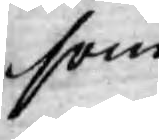som
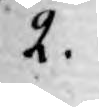2.
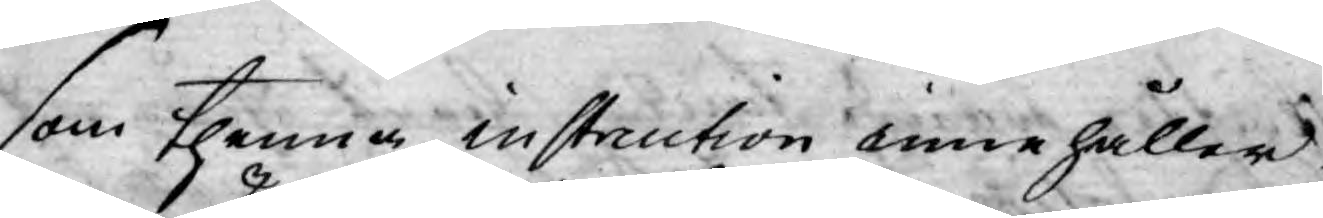som thenna instruction innehåller
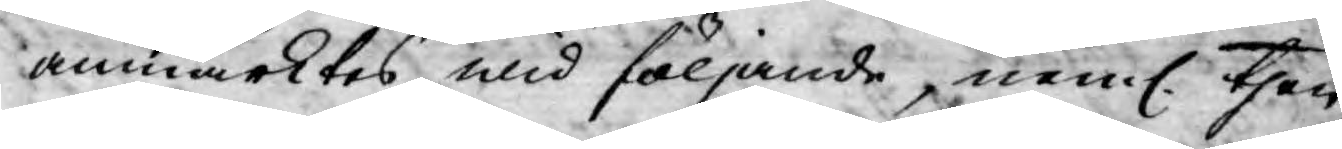anmärktes wid följande, neml. then
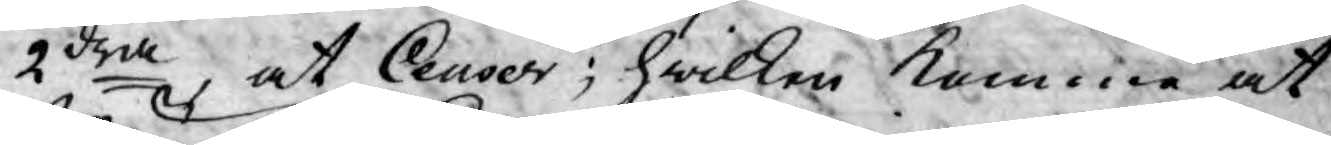2dra, at Censor; hwilken komma at
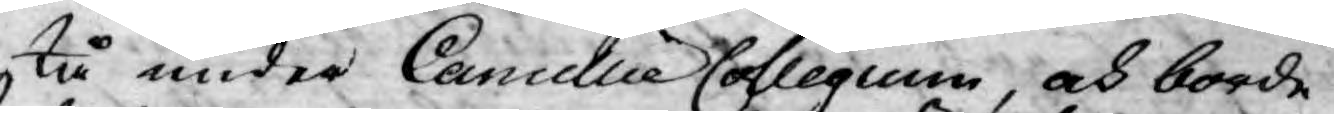stå under Cancellie Collegium, och borde
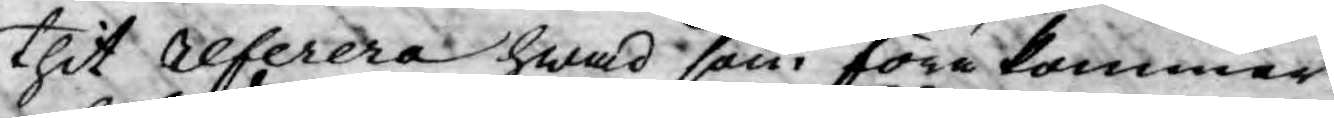thit referera hwad som förekommer
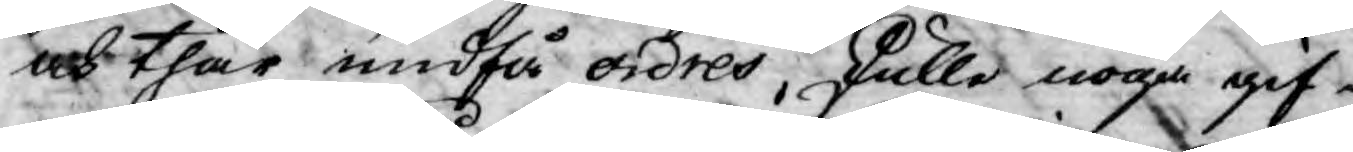och thär undfå ordres, skulle noga gif¬
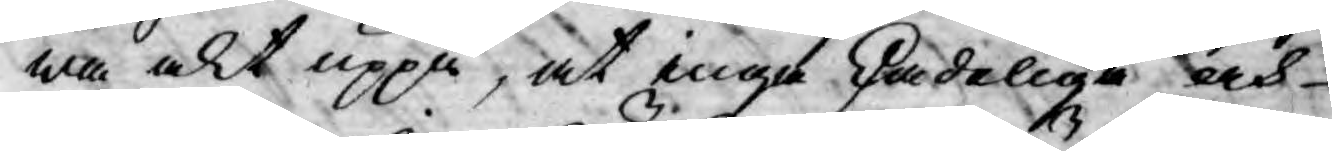wa akt uppå, at inga skadeliga och
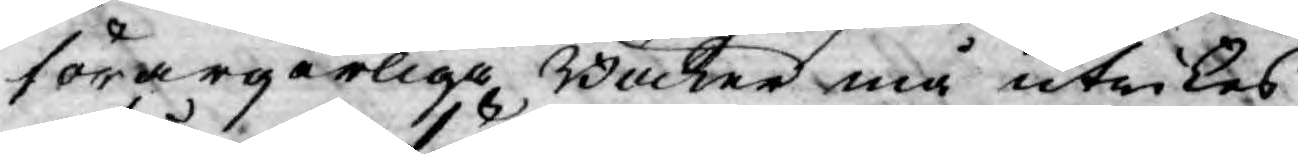förargerliga Böcker må utrikes
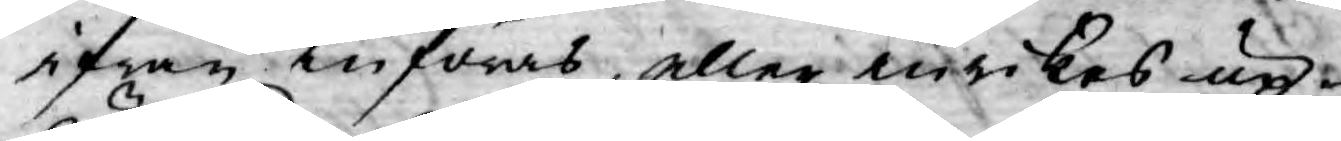ifrån införas, eller inrikes up¬
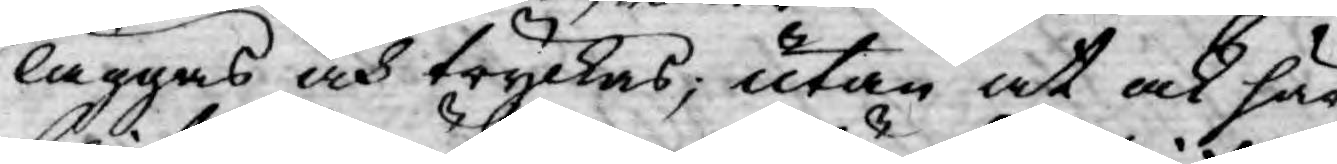läggas och tryckas, utan at ock här
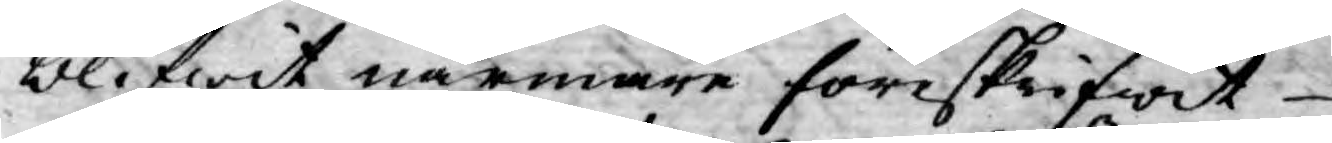blifwit närmare föreskrifwit
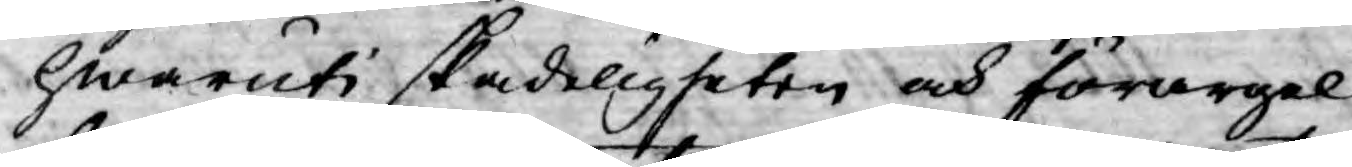hwaruti skadeligheten och förargel¬
